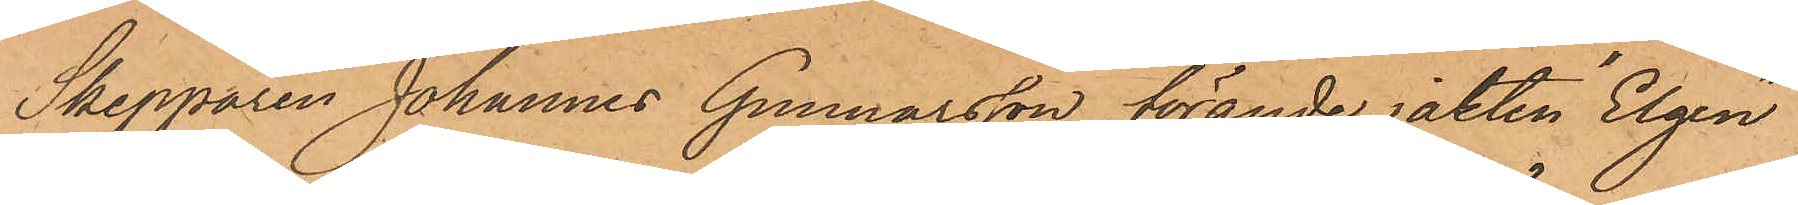Skepparen Johannes Gunnarsson, förande jakten Elgen
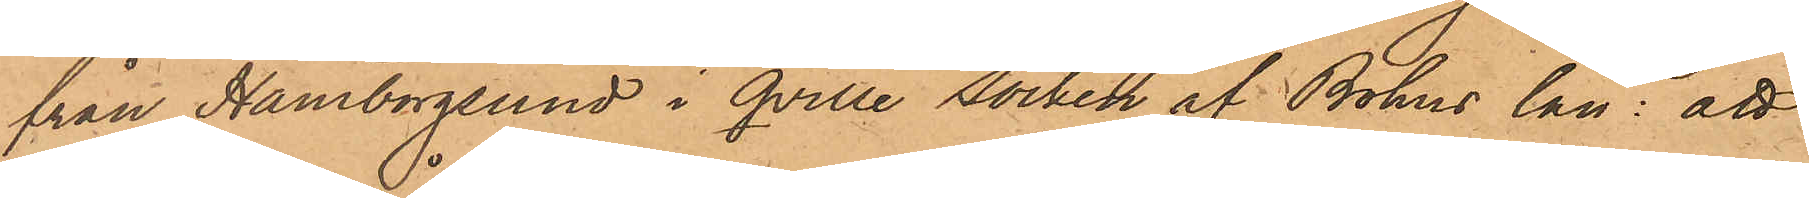från Hamburgsund i qville socken af Bohus län: att
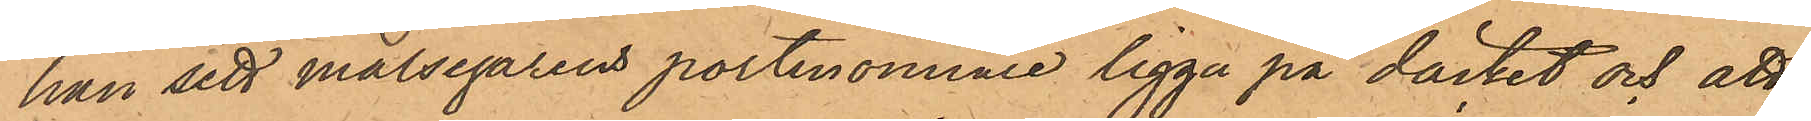han sett målsegarens portmonnaie ligga på däcket och att
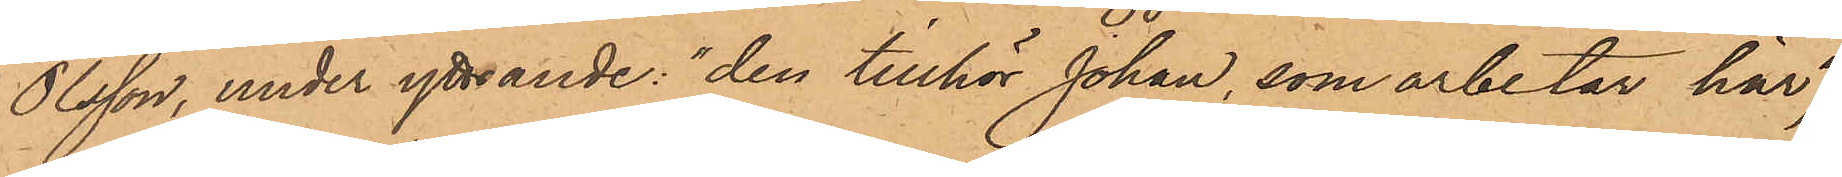Olsson, under yttrande: "den tillhör Johan, som arbetar här",
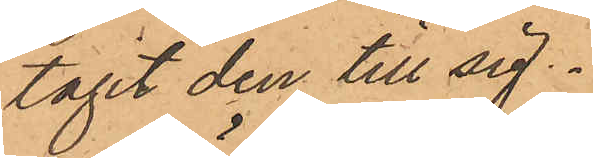tagit den till sig.
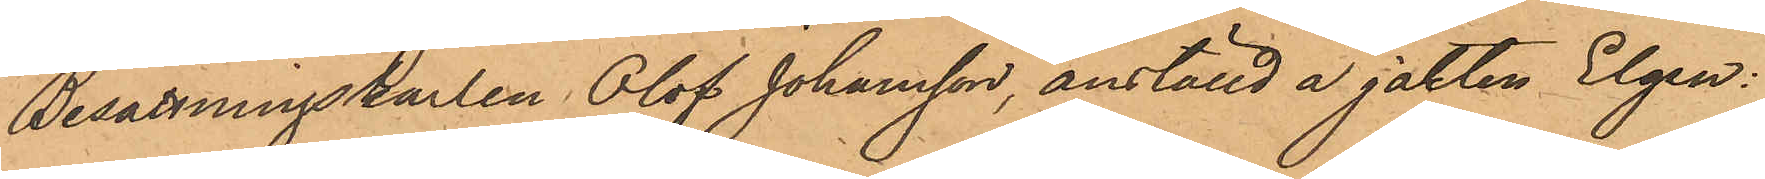Besättningskarlen Olof Johansson, anställd å jakten Elgen:
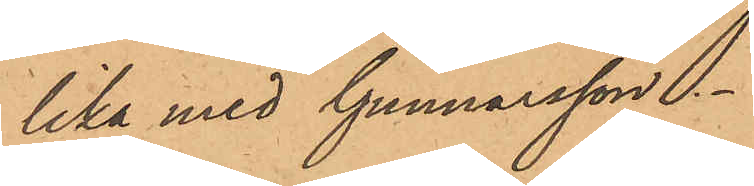lika med Gunnarsson.
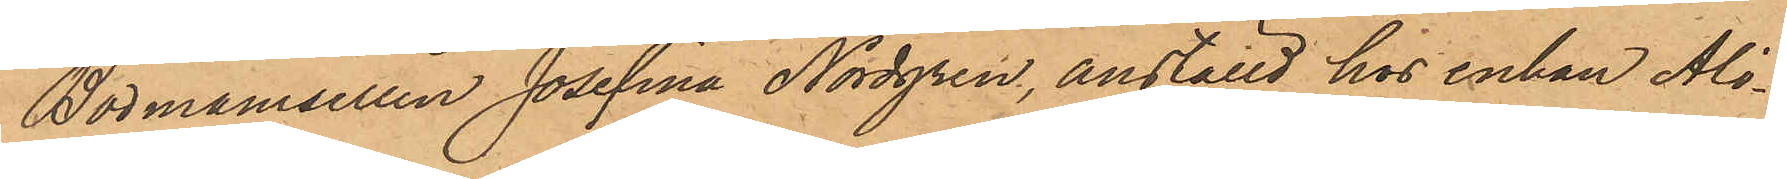Bodmamsellen Josefina Nordgren, anställd hos enkan Ali¬
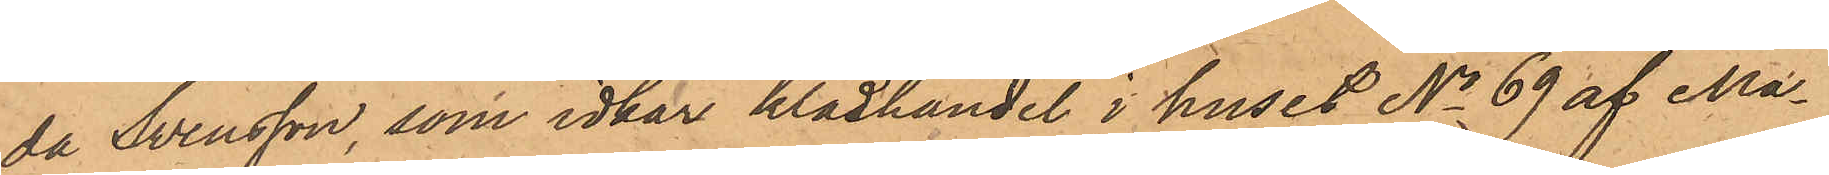da Svensson, som idkar klädhandel i huset No 69 af Ma¬
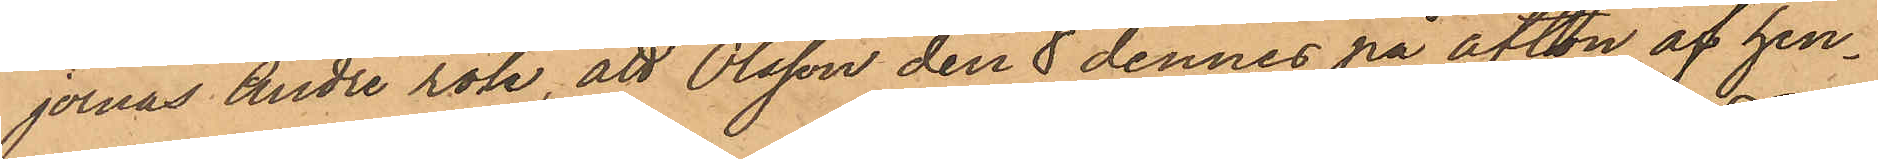jornas andre rote, att Olsson den 8 dennes på afton af hen¬
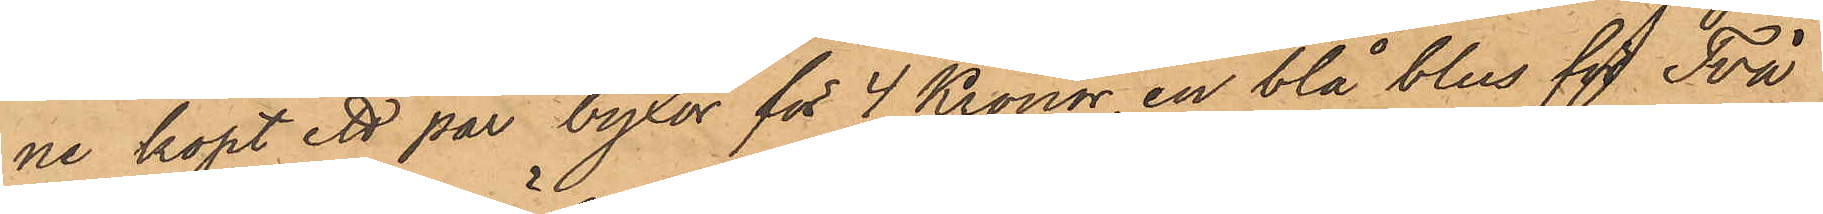ne köpt ett par byxor för 4 Kronor, en blå blus för Två
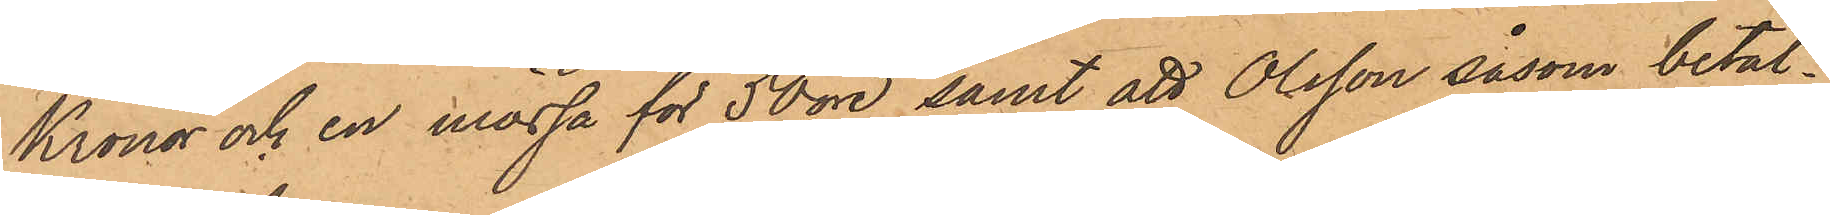Kronor och en mössa för 50 öre, samt att Olsson såsom betal¬
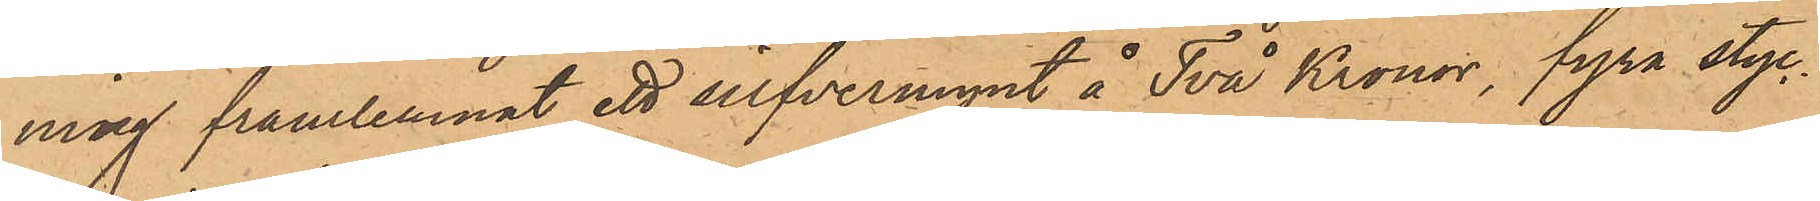ning framlemnat ett silfvermynt å Två Kronor, fyra styc¬
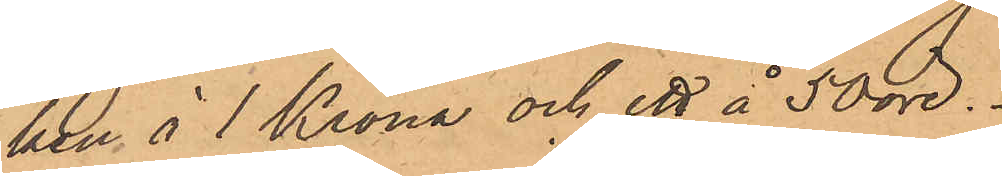ken å 1 Krona och ett å 50 öre.
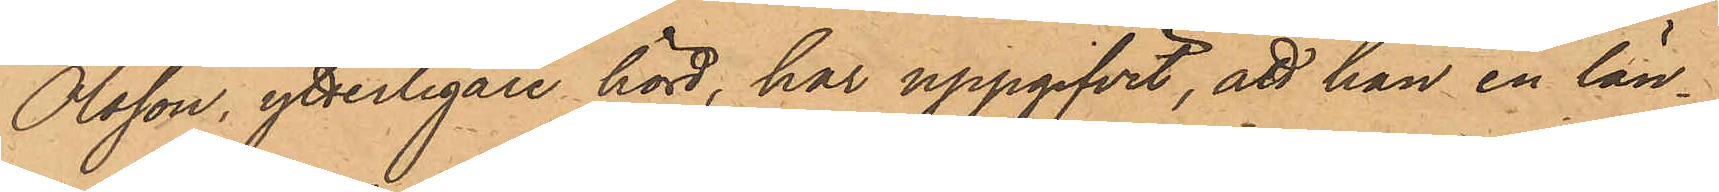Olsson, ytterligare hörd, har uppgifvit, att han en län¬
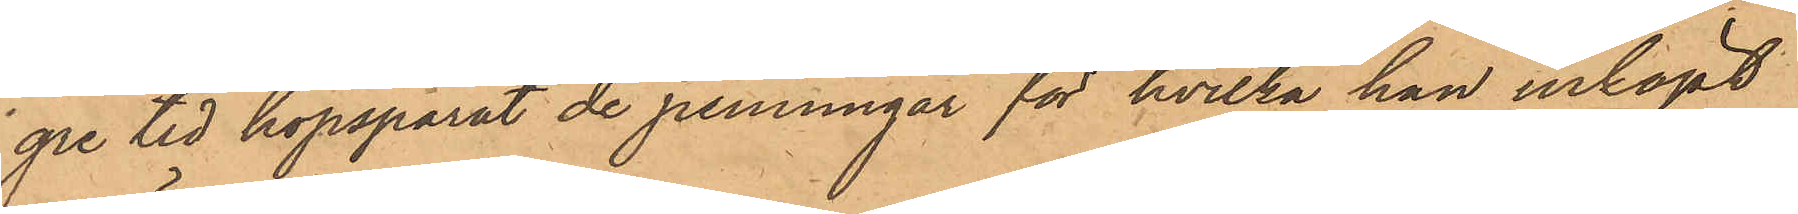gre tid hopsparat de penningar för hvilka han inköpt
